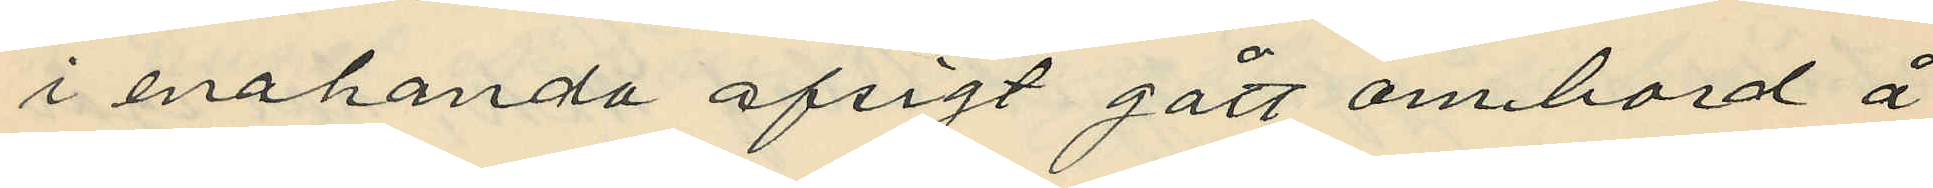i enahanda afsigt gått ombord å
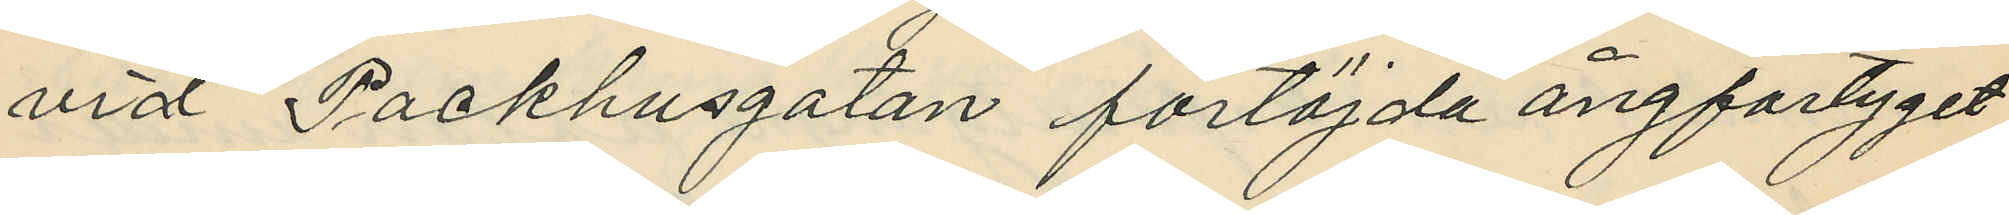vid Packhusgatan förtöjda ångfartyget
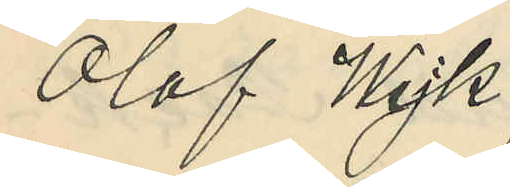Olof Wijk;
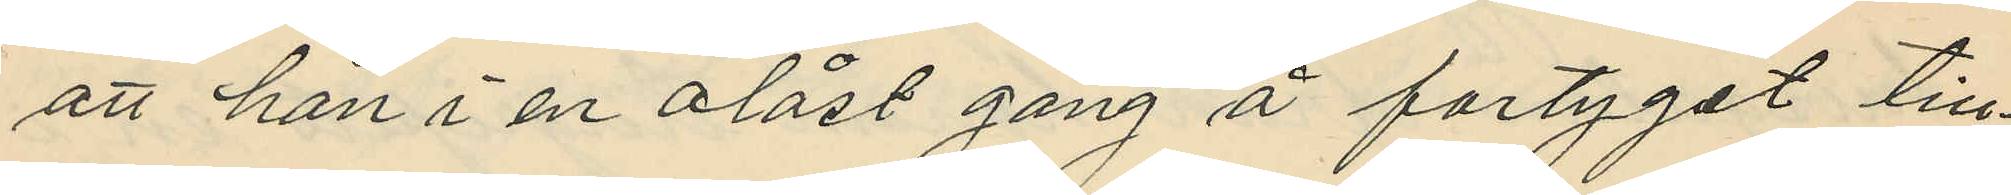att han i en olåst gång å fartyget till¬
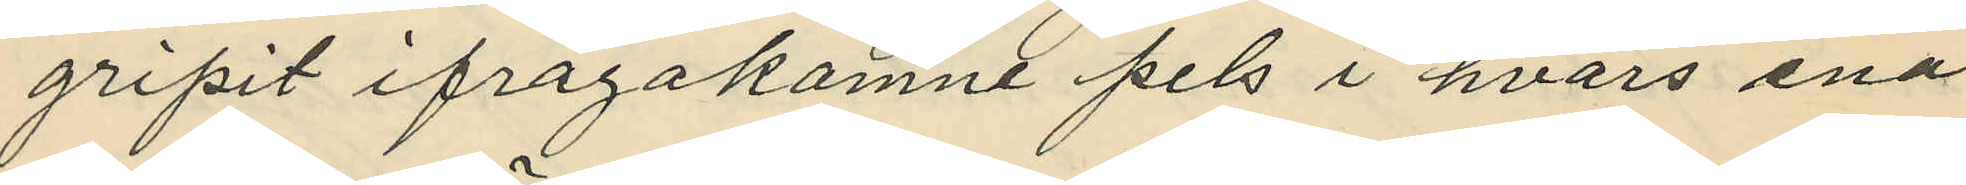gripit ifrågakomne pels i hvars ena
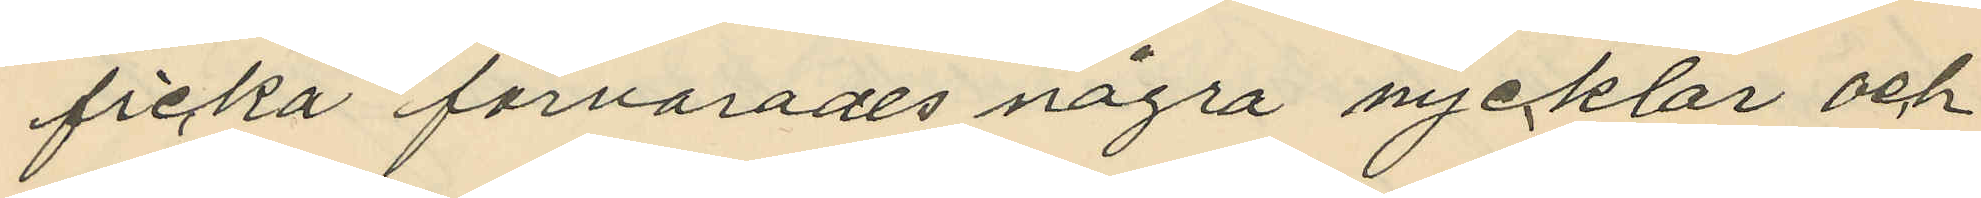ficka förvarades några nycklar och
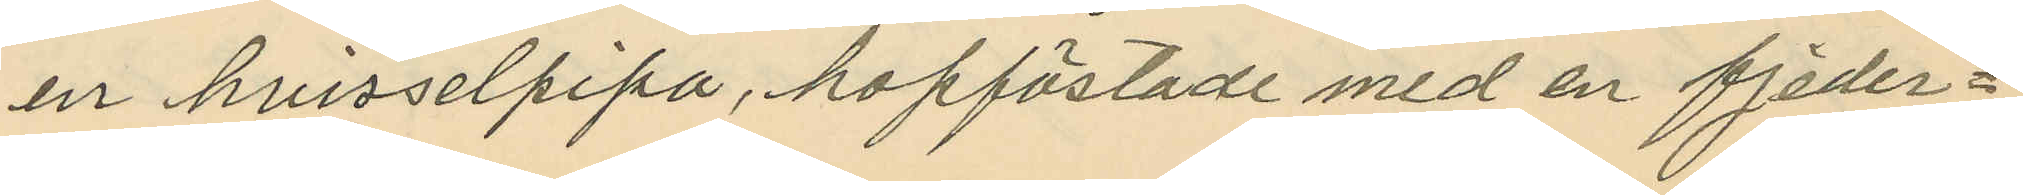en hvisselpipa, hopfästade med en fjeder¬
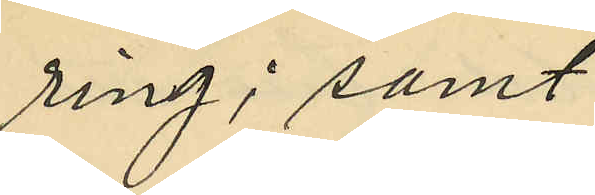ring; samt
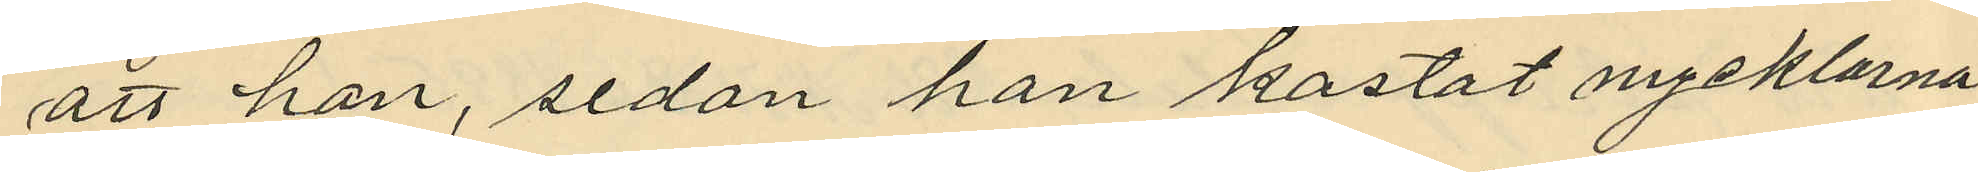att han, sedan han kastat nycklarna
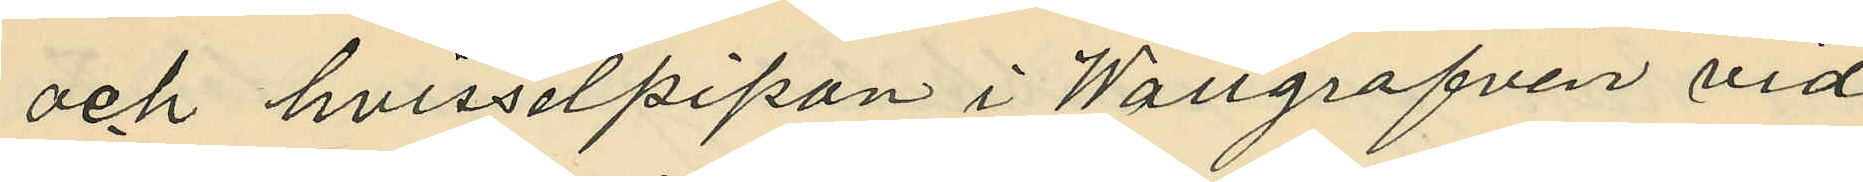och hvisselpipan i Wallgrafven vid
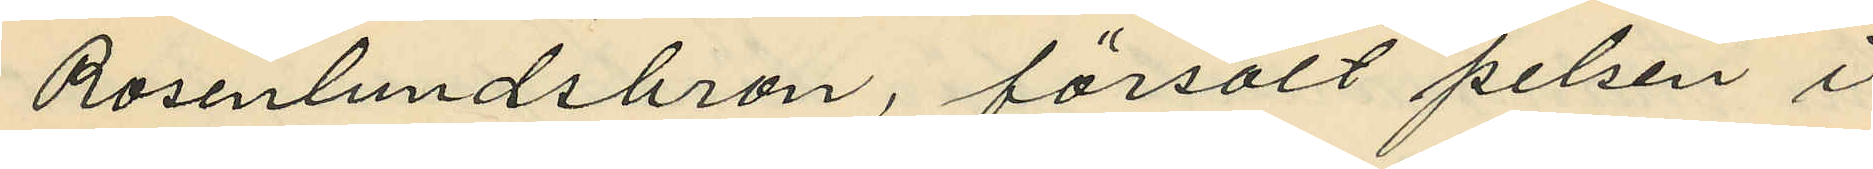Rosenlundsbron, försålt pelsen i
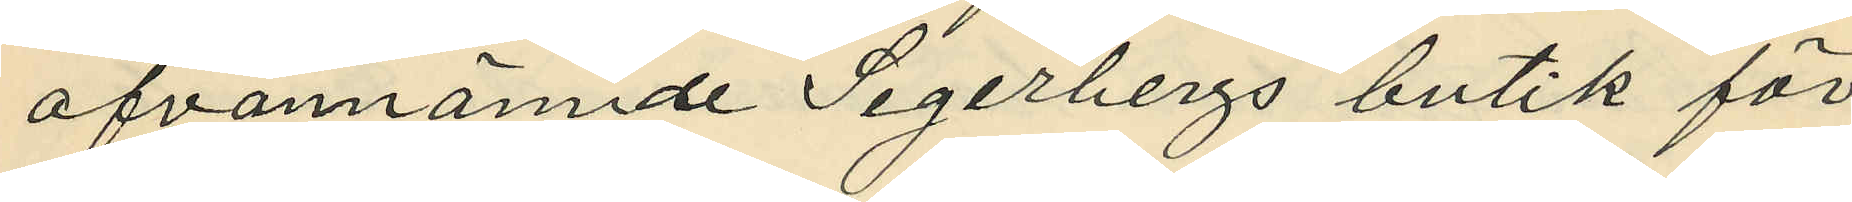ofvannännde Segerbergs butik för
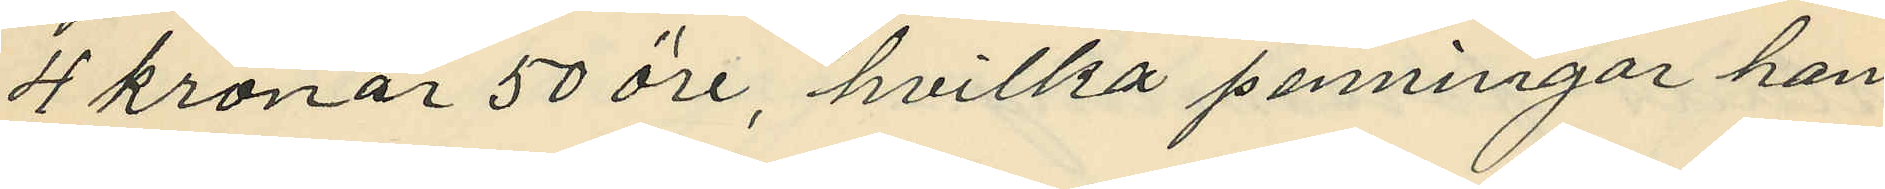4 kronor 50 öre, hvilka penningar han
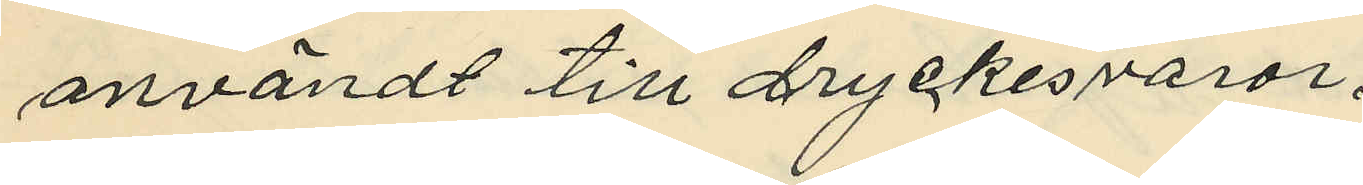användt till dryckesvaror.
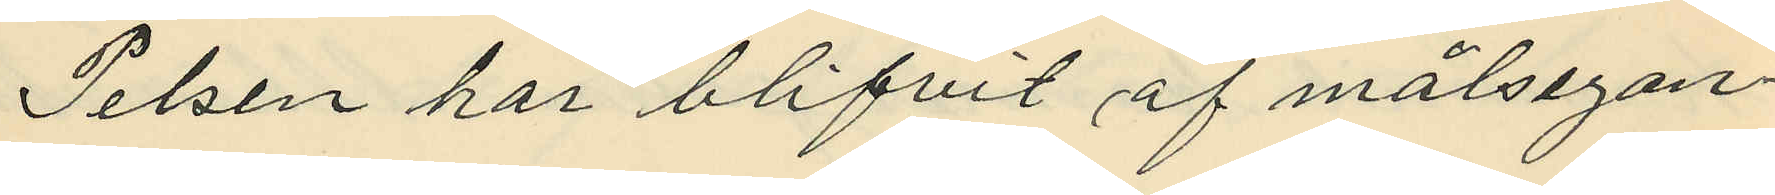Pelsen har blifvit af målsegan¬
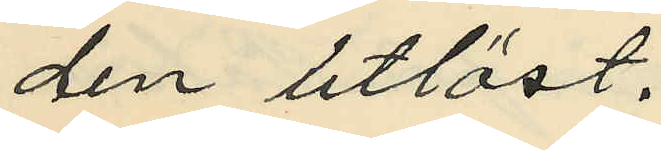den utlöst.
